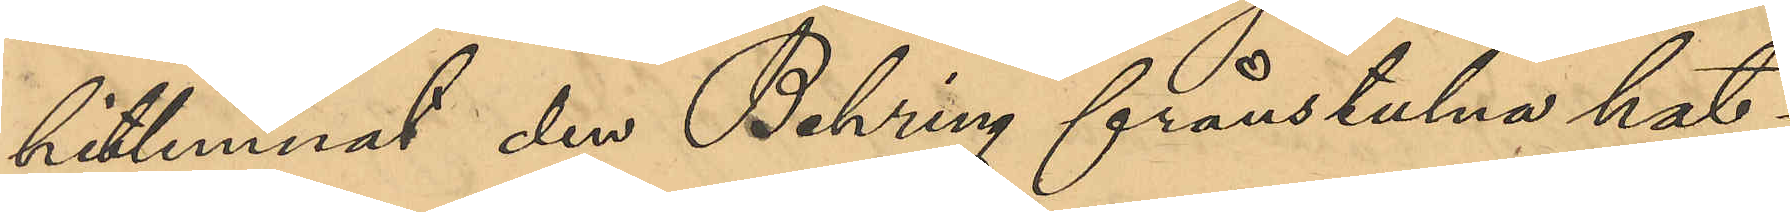hitlemnat den Behring frånstulna hat¬
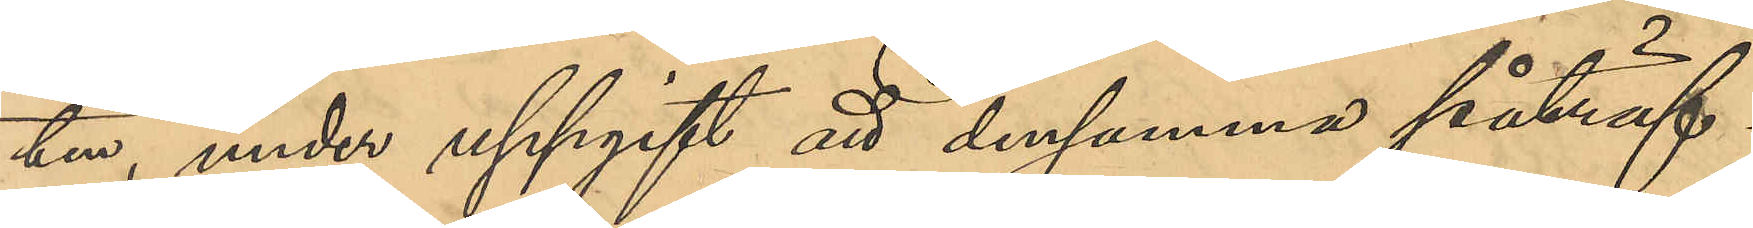ten, under uppgift att densamma påträf¬
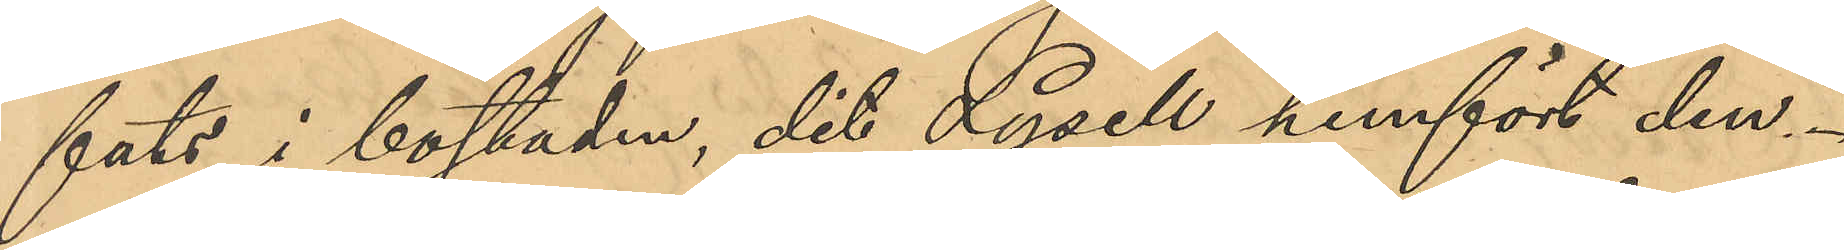fats i bostaden, dit Lysell hemfört den.
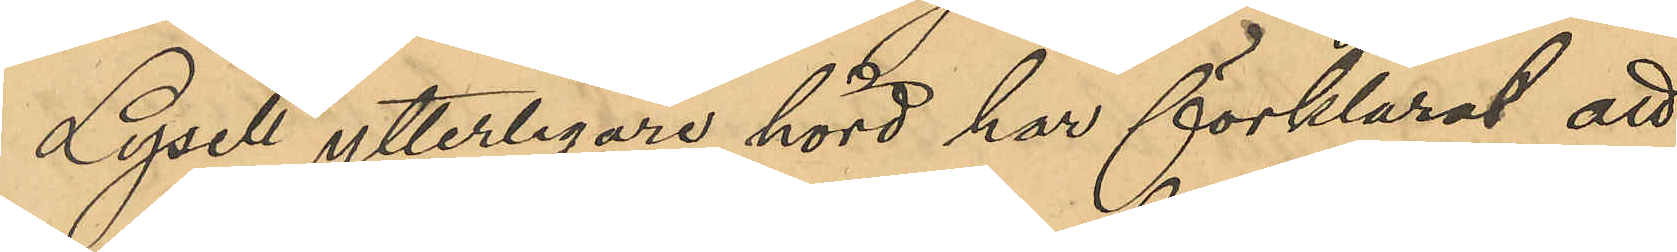Lysell ytterligare hörd har förklarat att
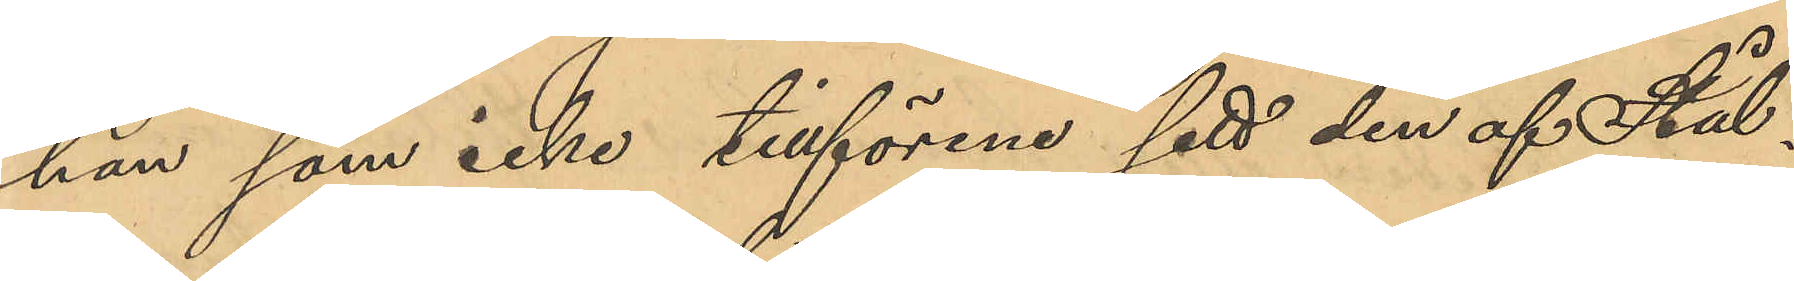han som icke tillförne sett den af Stål¬
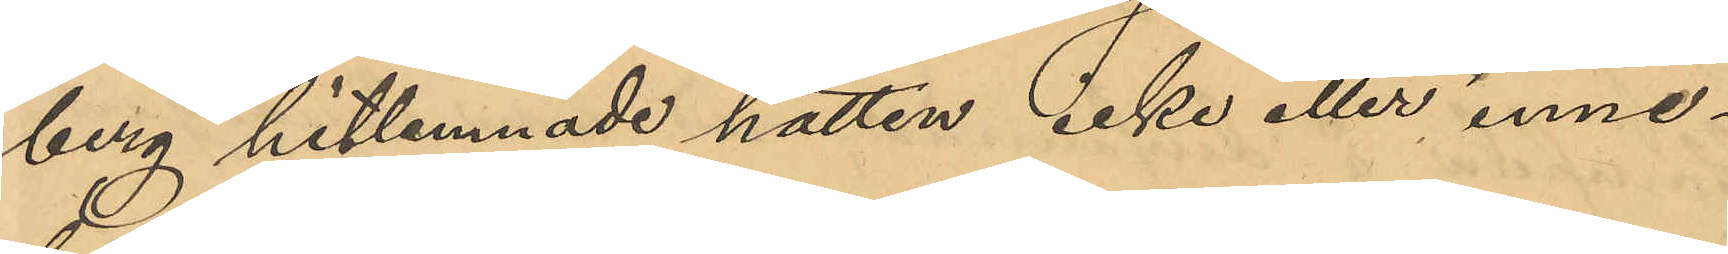berg hitlemnade hatten icke eller inne¬
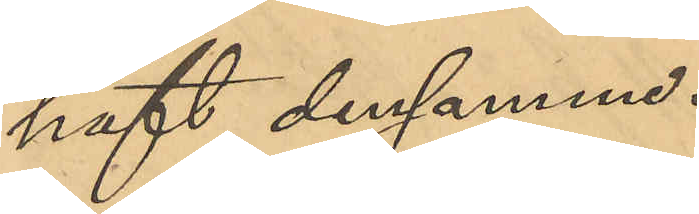haft densamma.
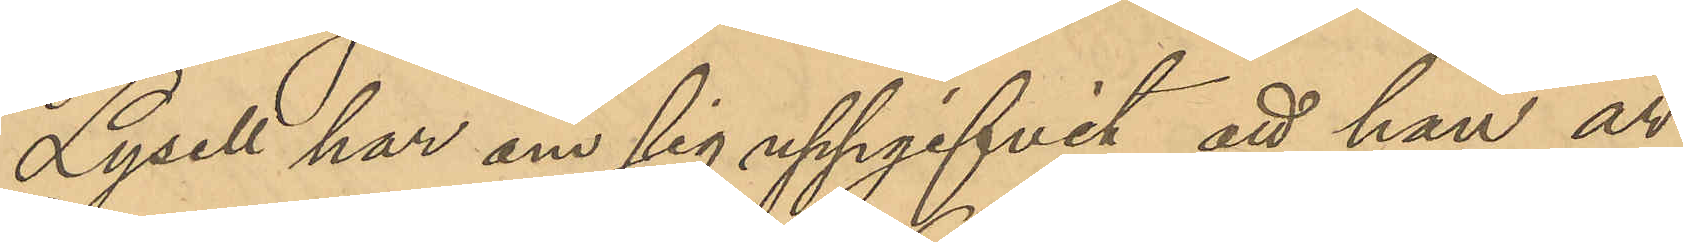Lysell har om sig uppgifvit, att han är
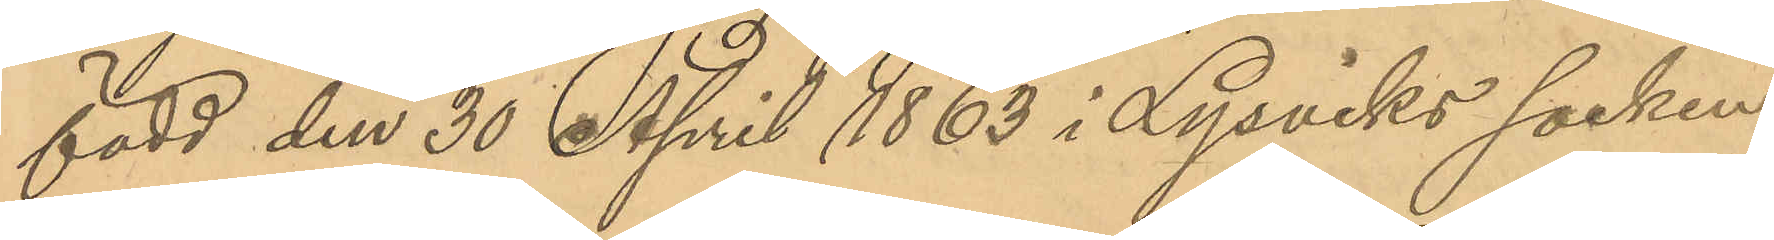född den 30 April 1863 i Lysviks socken
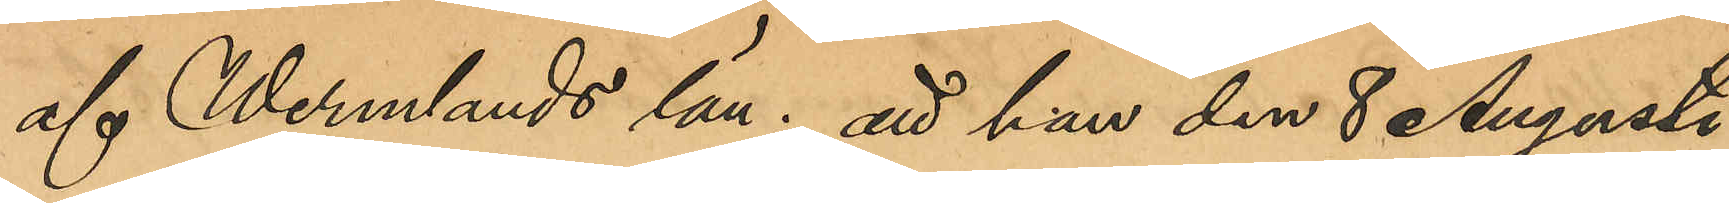af Wermlands län; att han den 8 Augusti
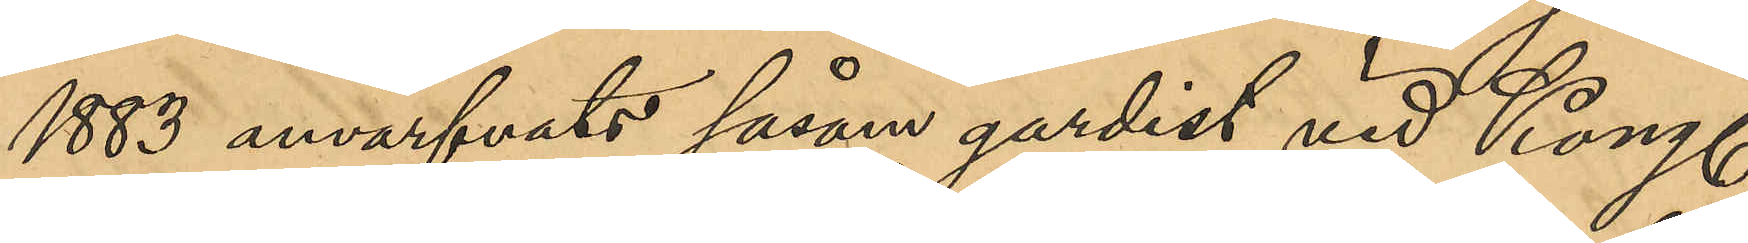1883 anvärfvats såsom gardist vid Kong.
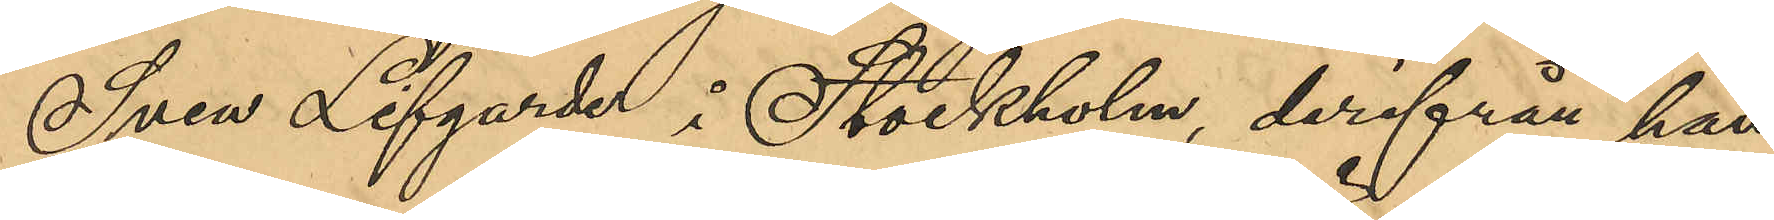Svea Lifgarde i Stockholm, derifrån han 
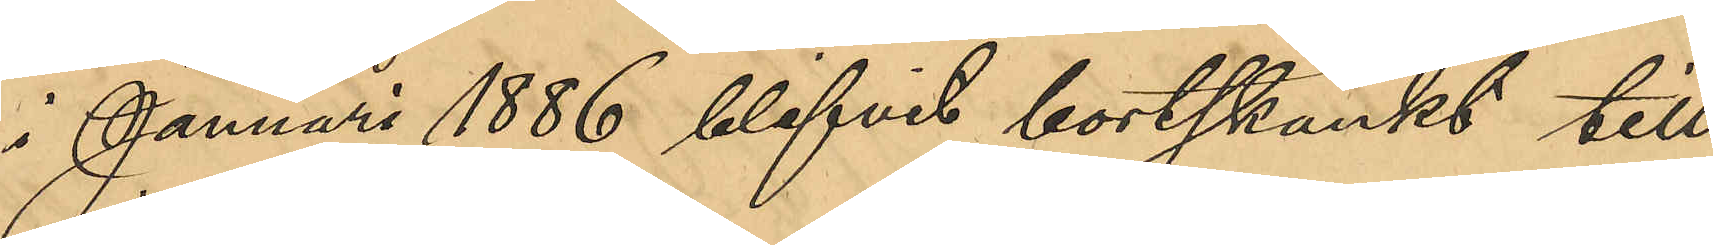i Januari 1886 blifvit bortskänkt till
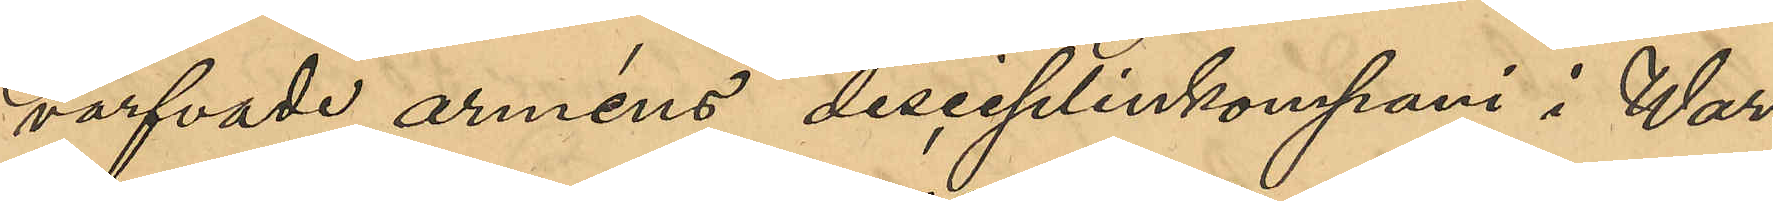värfvade arméns disciplinkompani i War¬
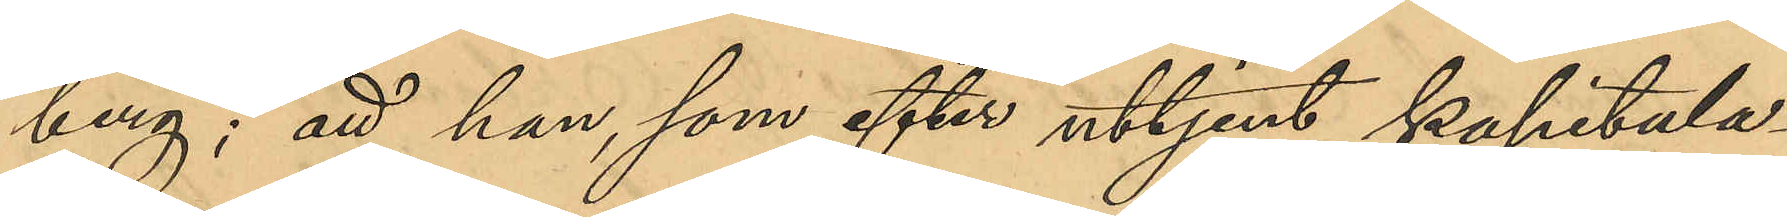berg; att han som efter uttjent kapitula¬
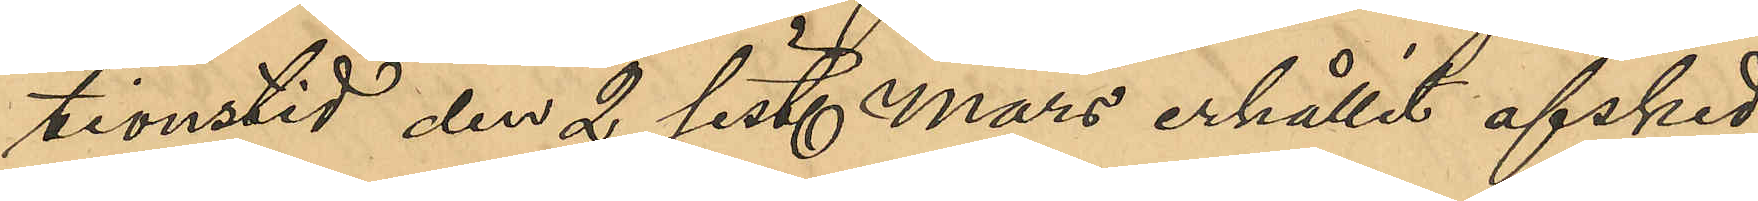tionstid den 2 sist. Mars erhållit afsked
